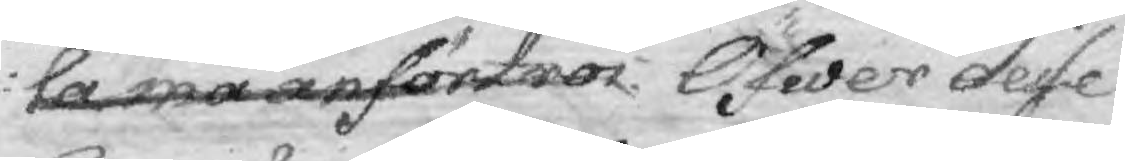la må anförtroz. Öfwer desse
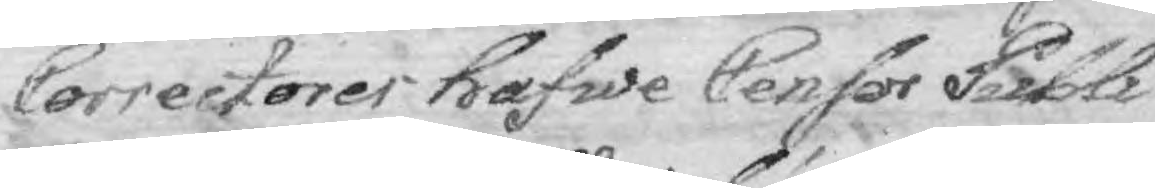Correctorer hafwe Censor Publi¬
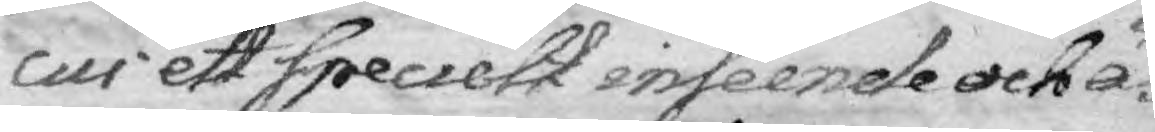cus ett Specielt inséende och ä¬
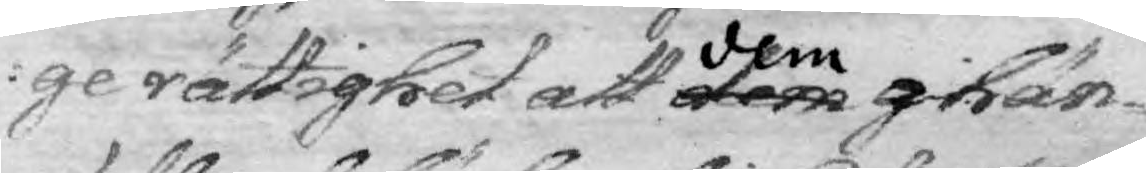ge rättighet att dem i hän¬
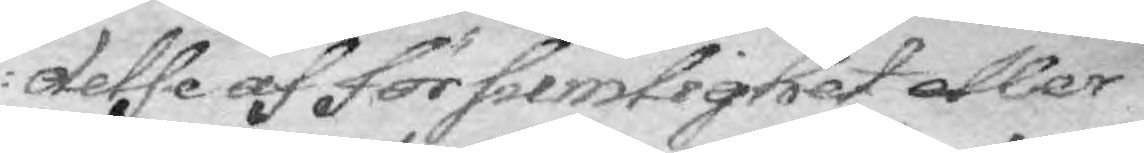delse af försumlighet eller
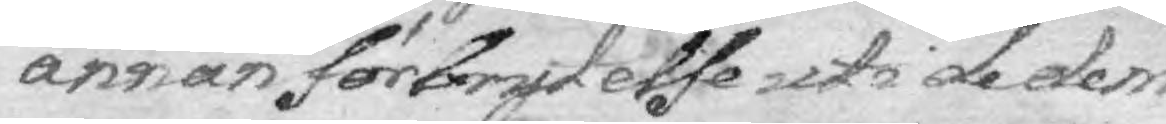annan förbrytelse uti de dem
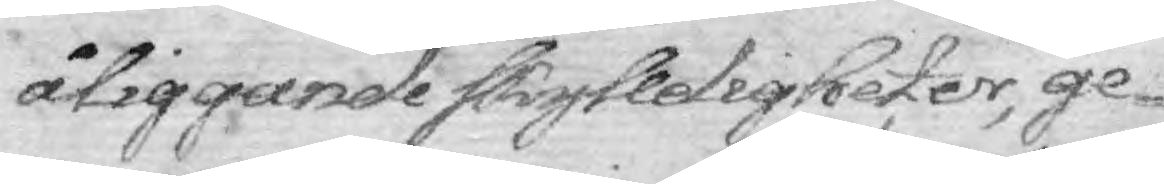åliggande skyldigheter, ge¬
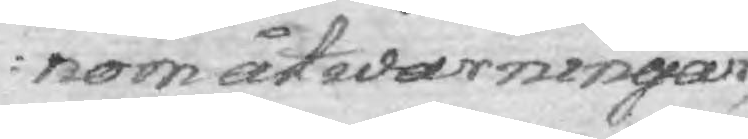nom åtwarningar,
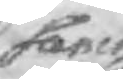samt
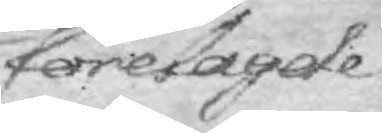förelagde
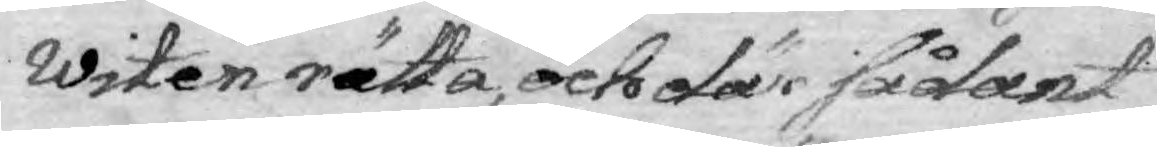Witen rätta, och där sådant
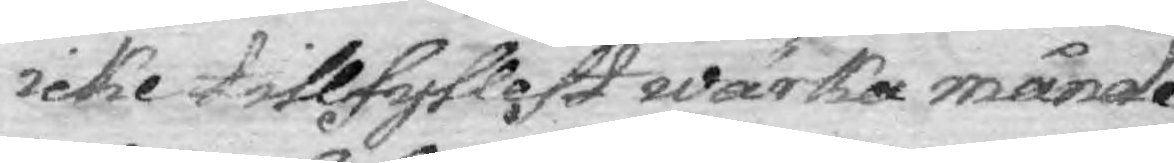icke tillfyllest wärka månde
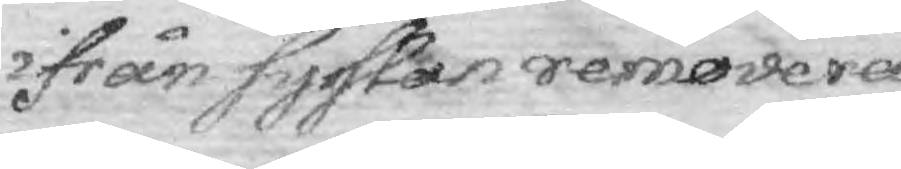ifrån sysslan removera.
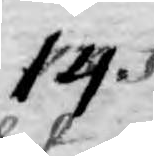14. §.
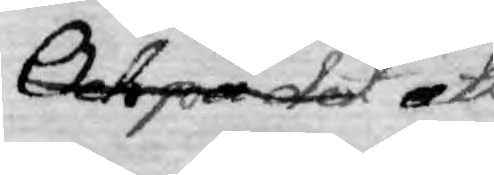Och på det att 
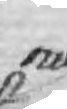nu
